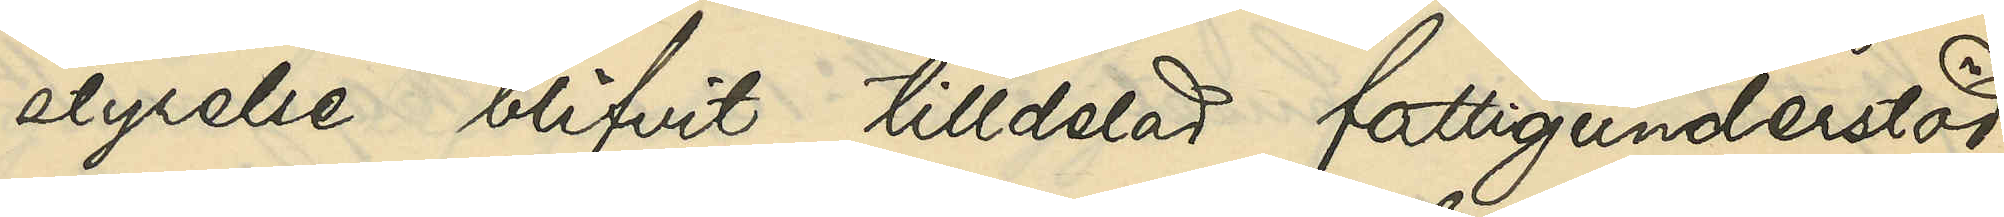styrelse blifvit tilldelad fattigunderstöd.
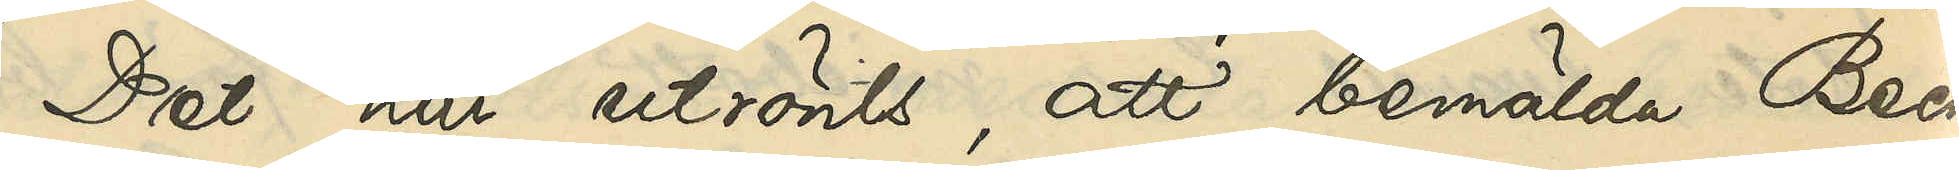Det har utrönts, att bemälda Beck¬
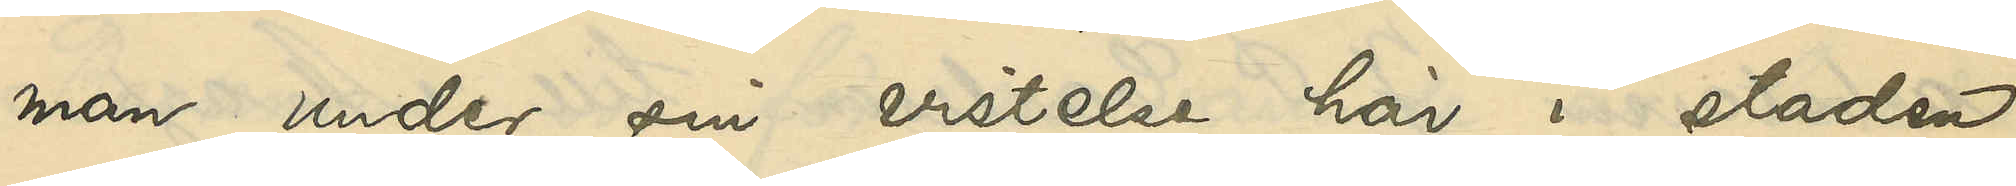man under sin vistelse här i staden
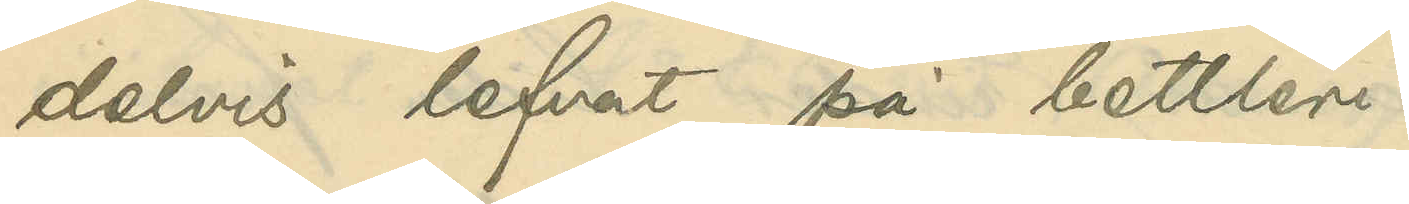delvis lefvat på bettleri.
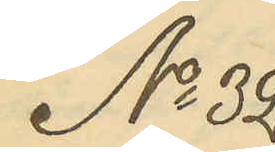No 32
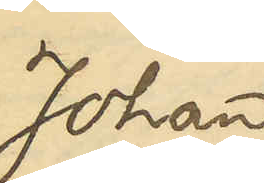Johan
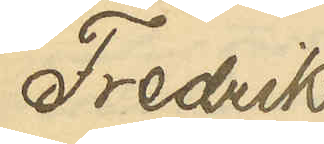Fredrik
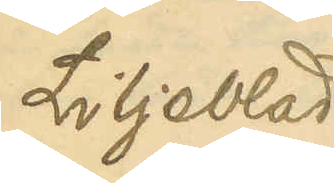Liljeblad
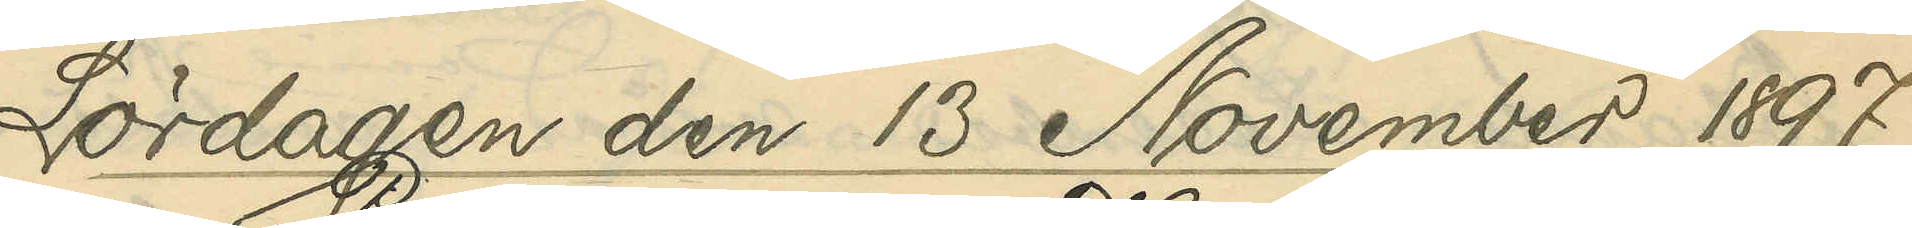Lördagen den 13 November 1897.
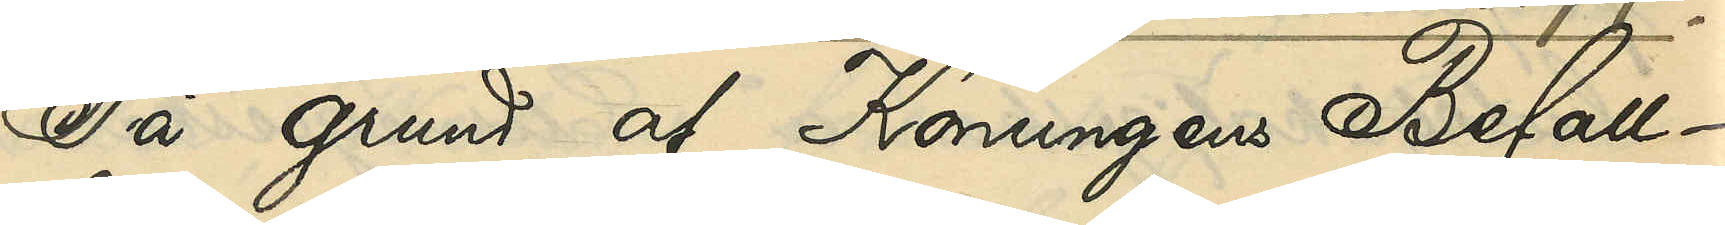På grund af Konungens Befall¬
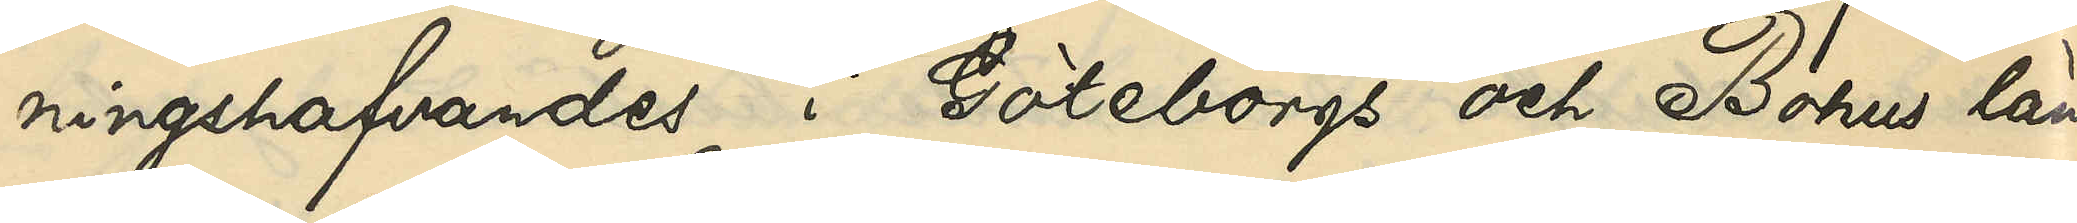ningshafvandes i Göteborgs och Bohus län
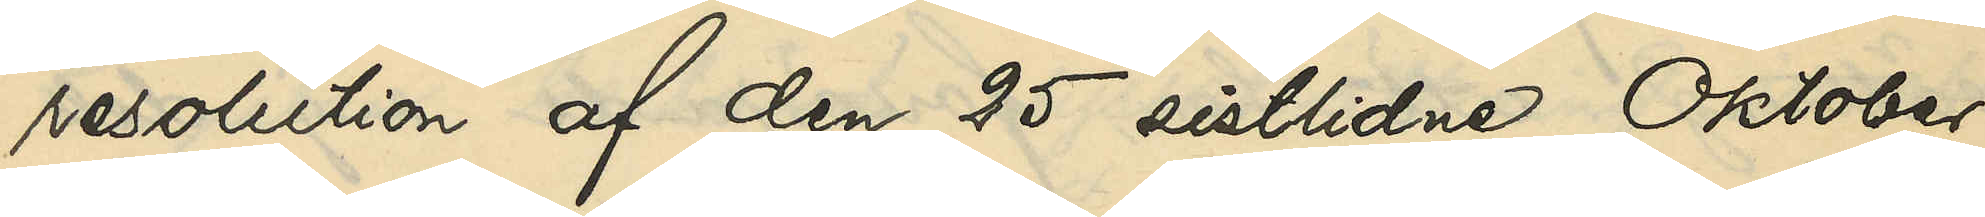resolution af den 25 sistlidne Oktober,
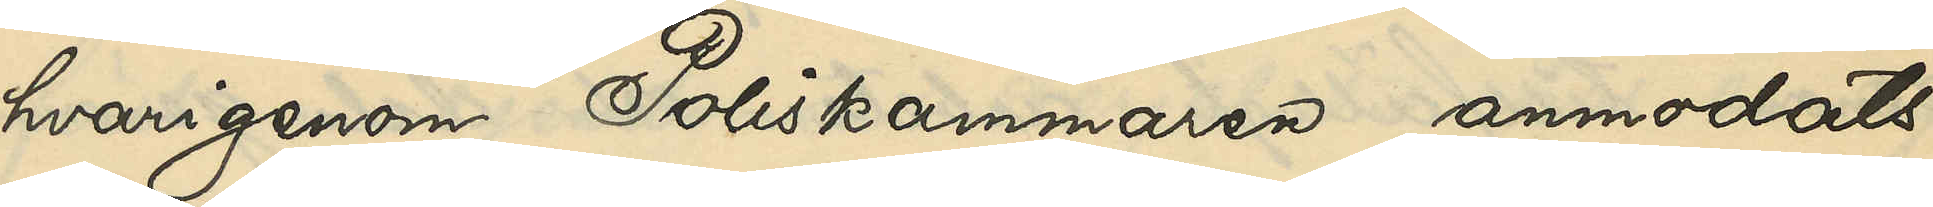hvarigenom Poliskammaren anmodats
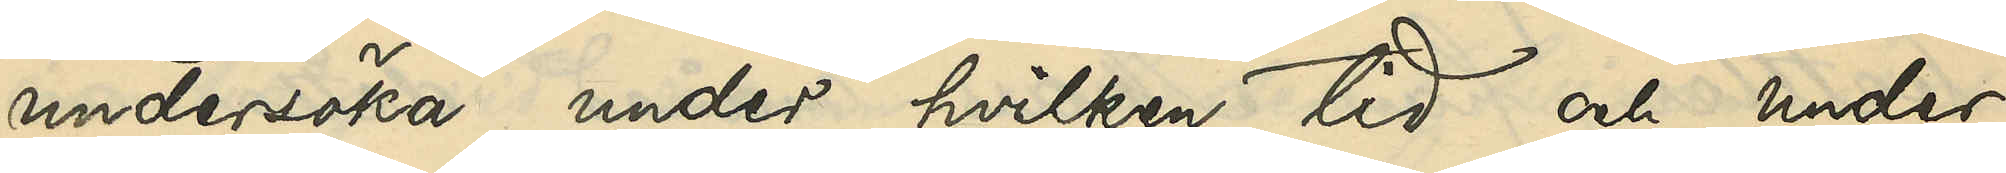undersöka, under hvilken tid och under
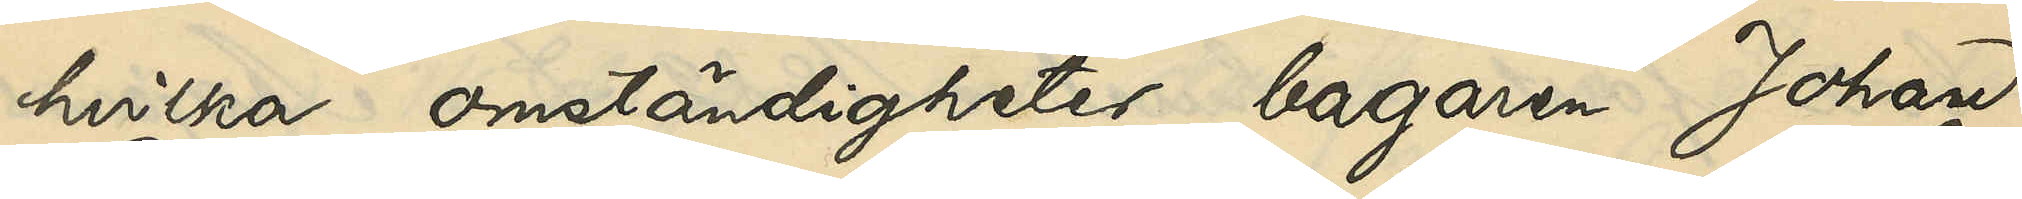hvilka omständigheter bagaren Johan
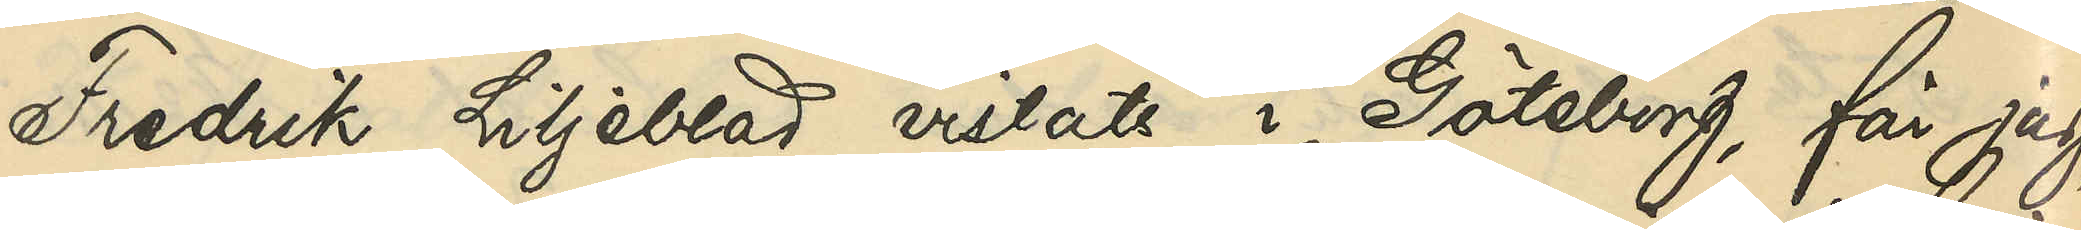Fredrik Liljeblad vistats i Göteborg, får jag,
